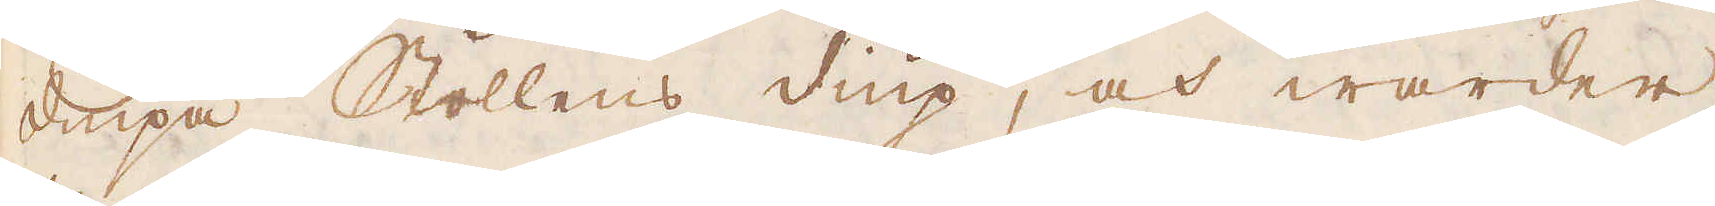diupa Stollens diup, och warder
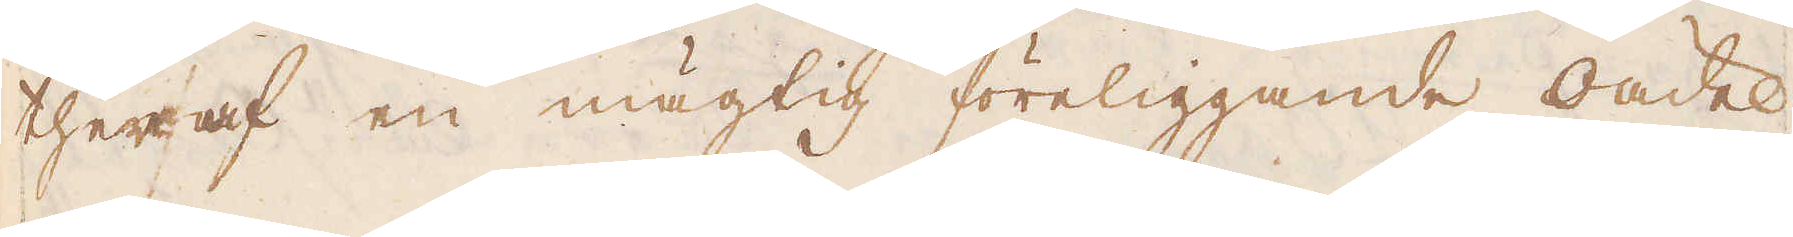theraf en mägtig föreliggande oädel
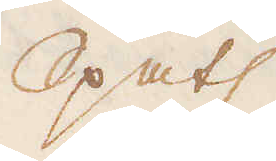Spats
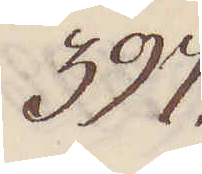397.
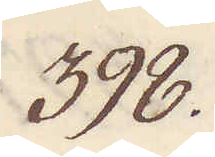398.
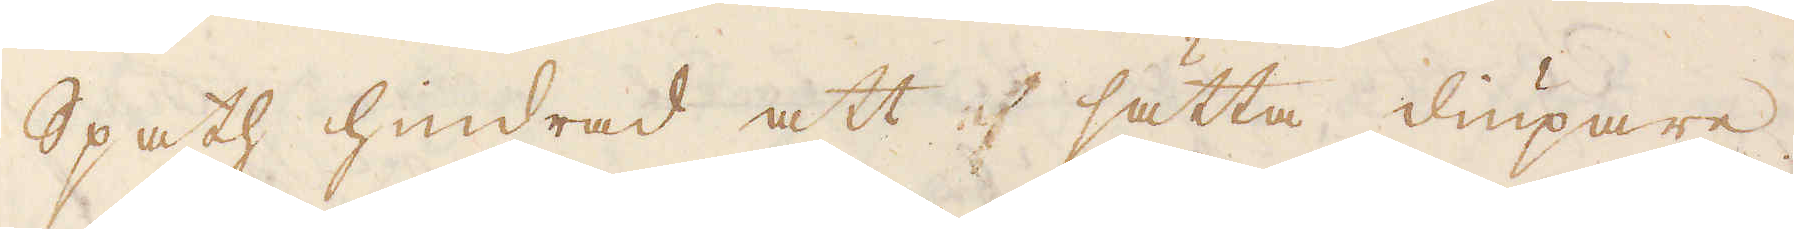Spath hindrad att sätta diupare.
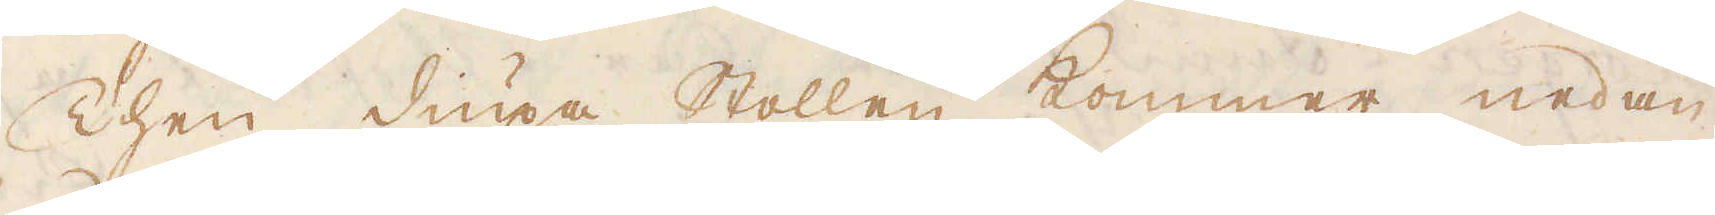Then diupa Stollen kommer nedan
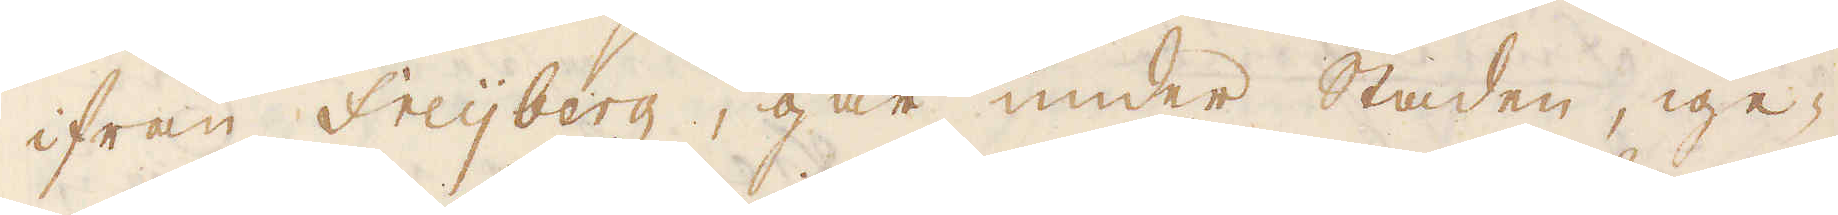ifrån Freijberg, går under staden, ige-
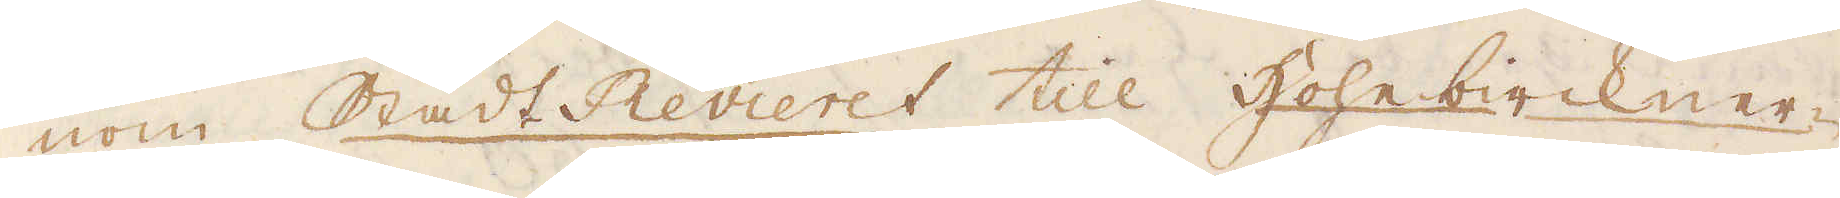nom Stadt Revieret till Hohebirckner-
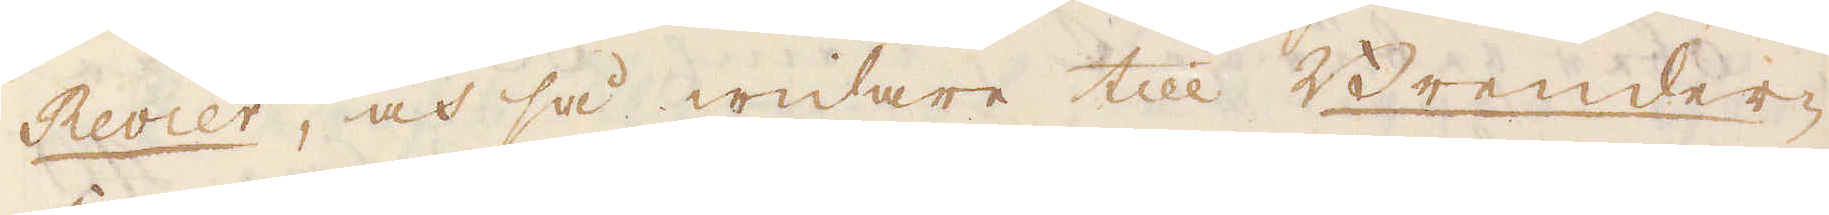Revier, och så widare till Brender-
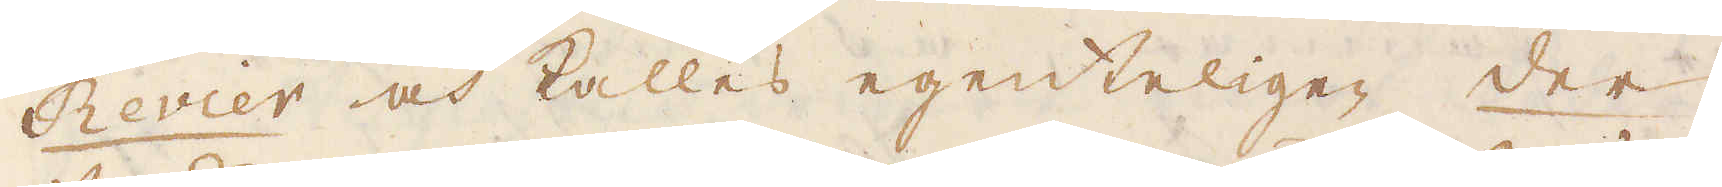Revier och kallas egenteligen der
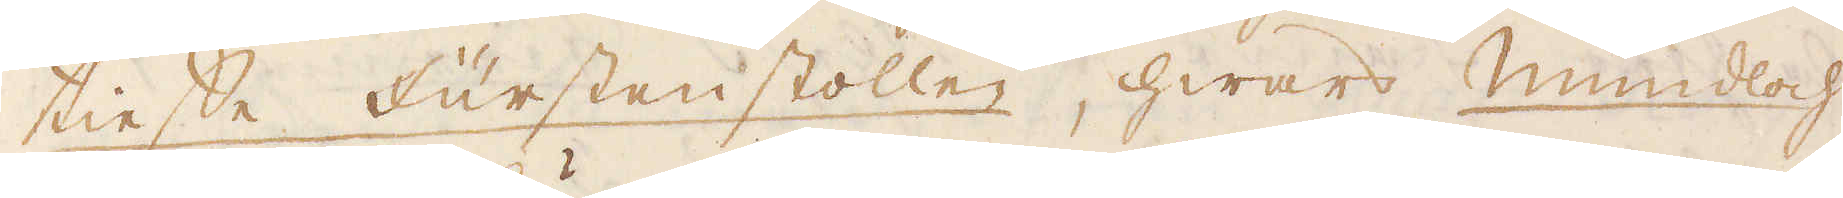tiesse Furstenstollen, hwars Mundloch
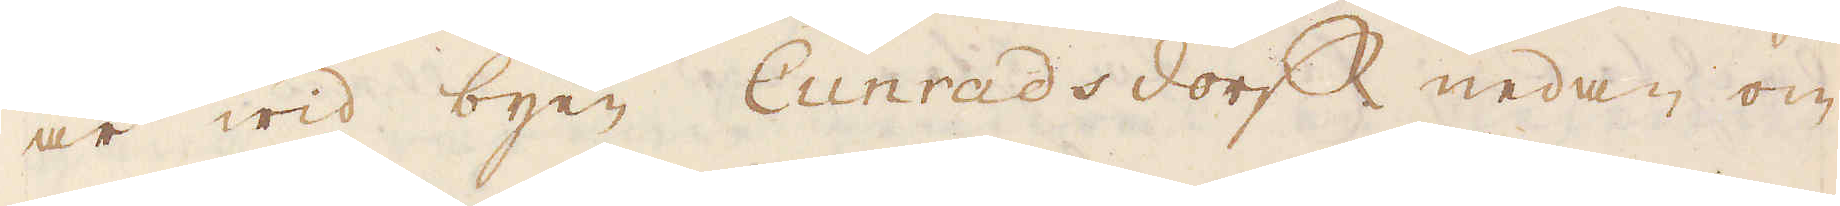är wid byen Cunradsdorf nedan om
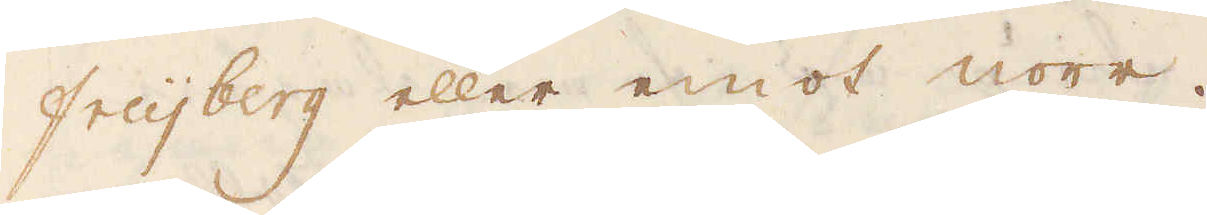Freijberg eller emot norr.
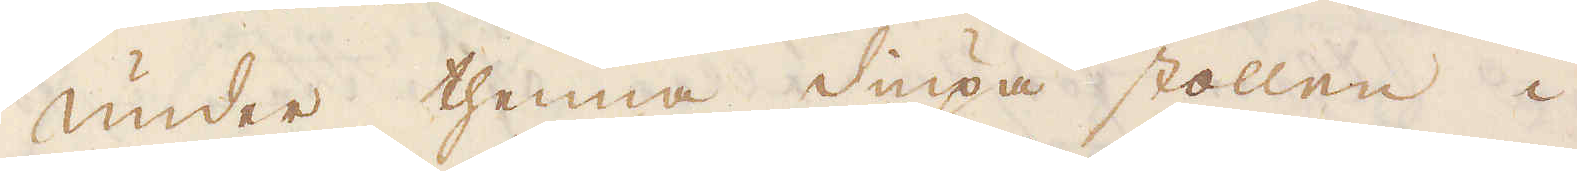Under thenna diupa stollen i
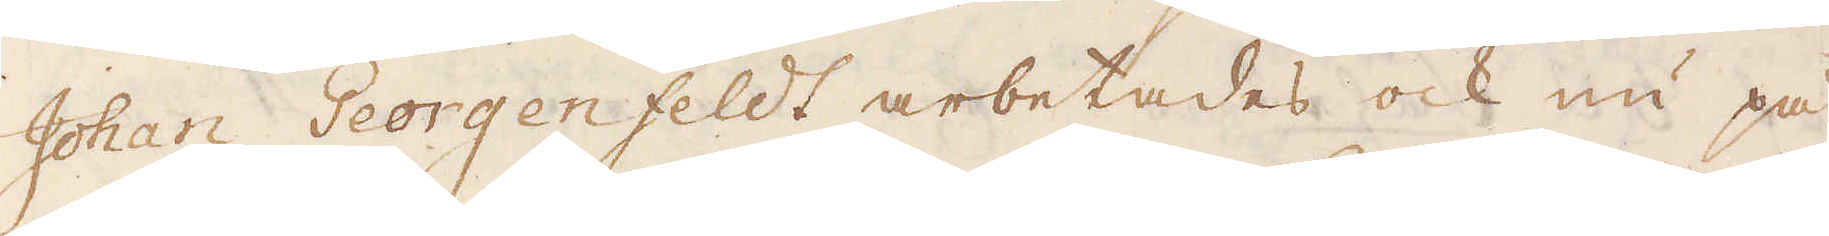Johan Georgenfeldt arbetades ock nu på
